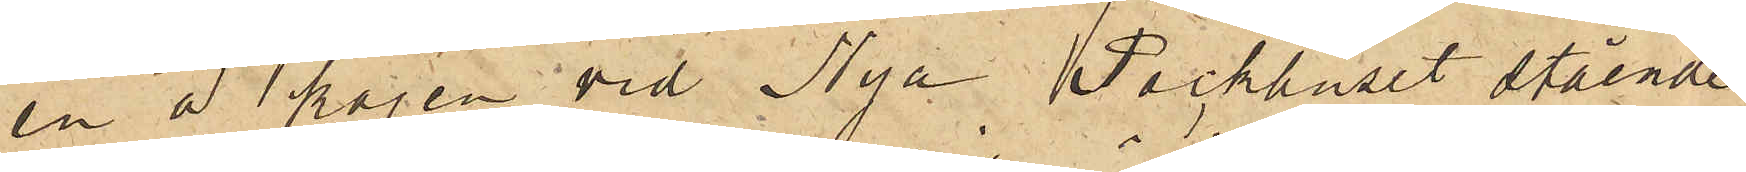en å kajen vid Nya Packhuset stående
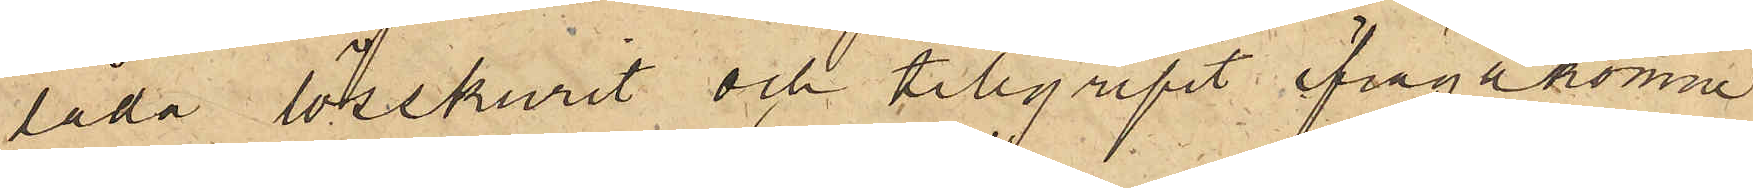låda lösskurit och tillgripit ifrågakomne
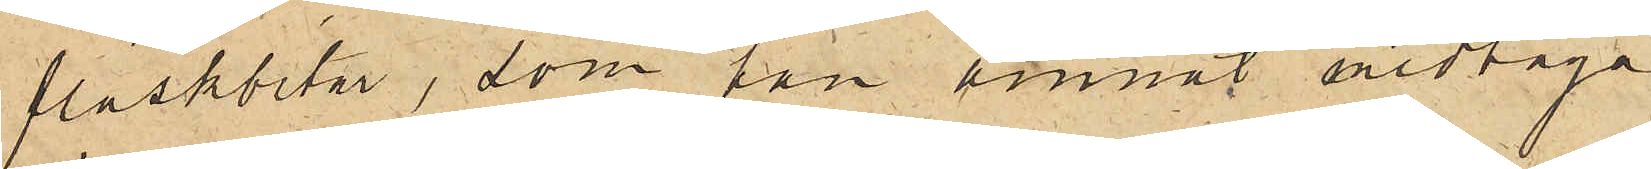fläskbitar, som han ämnat medtaga
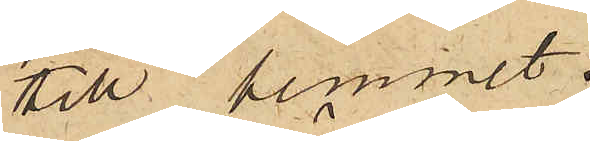till hemmet.
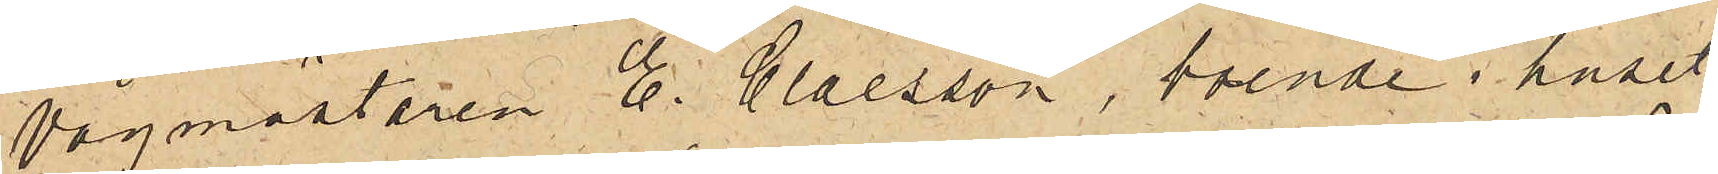Vågmästaren E. Claesson, boende i huset
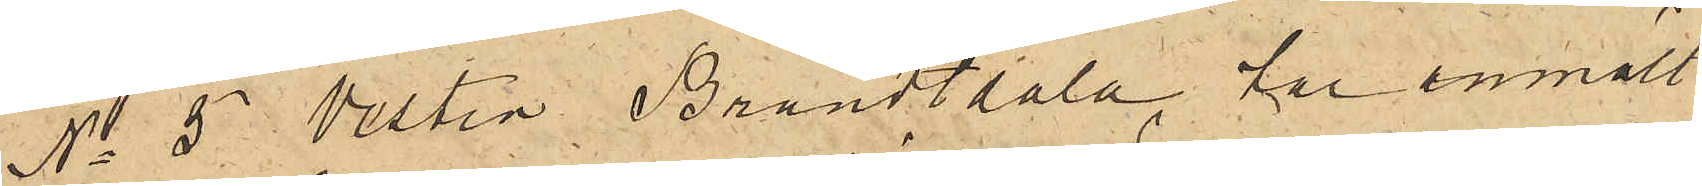No 5 Vestra Brandtdala, har anmält
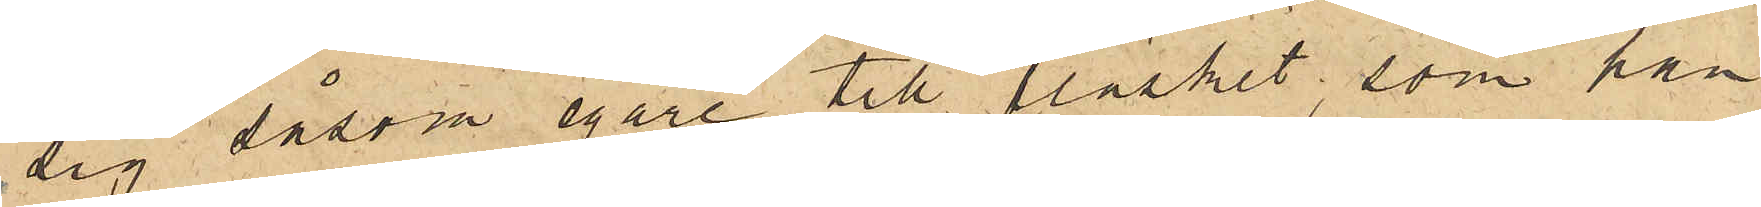sig såsom egare till fläsket, som han
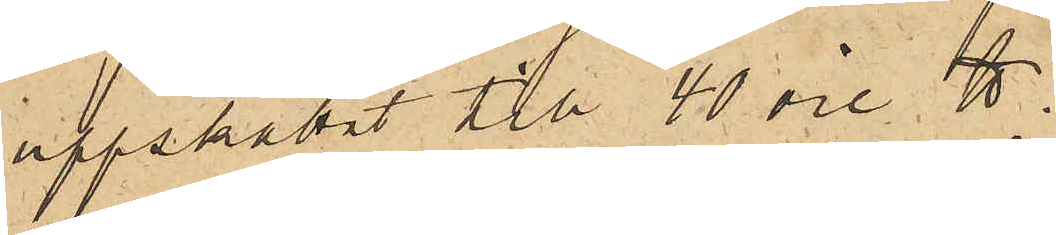uppskattat till 40 öre ℔.
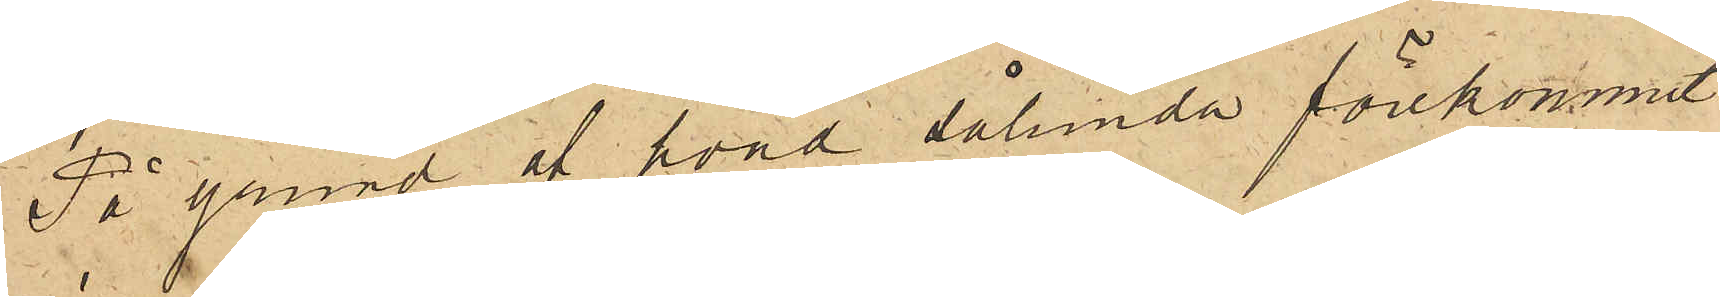På grund af hvad sålunda förekommit
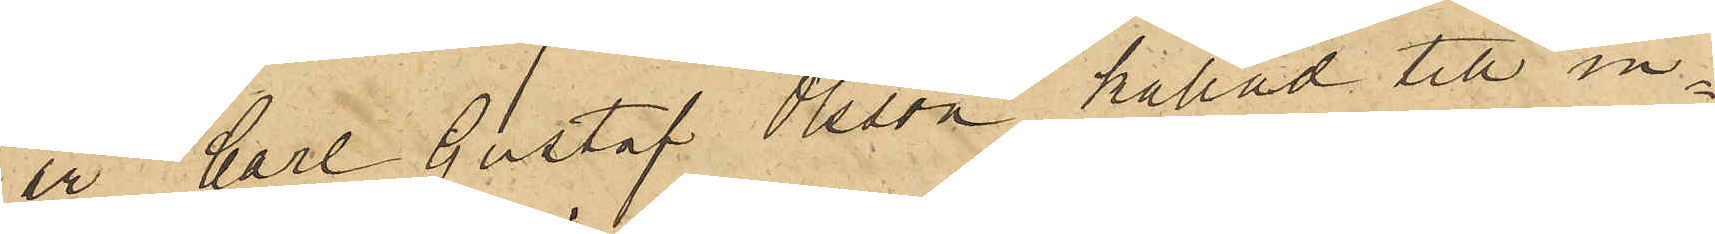är Carl Gustaf Olsson kallad till in¬
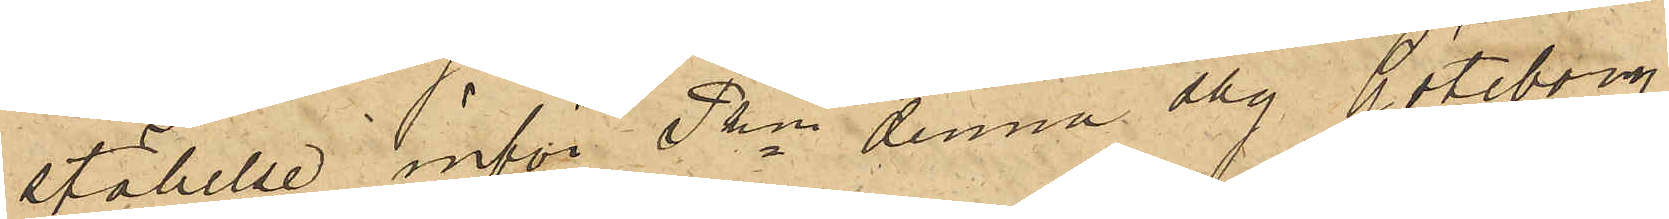ställelse inför Pkn denna dag. Göteborg
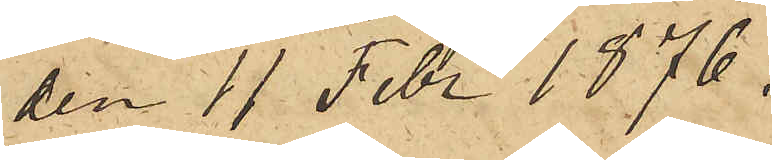den 11 Febr 1876.
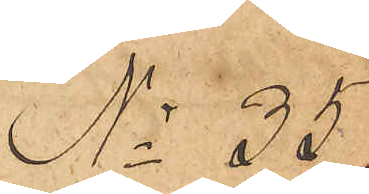No 35
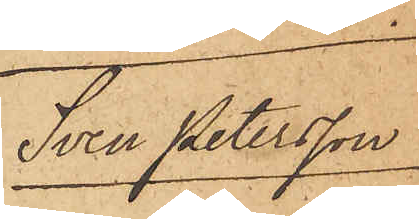Sven Petersson
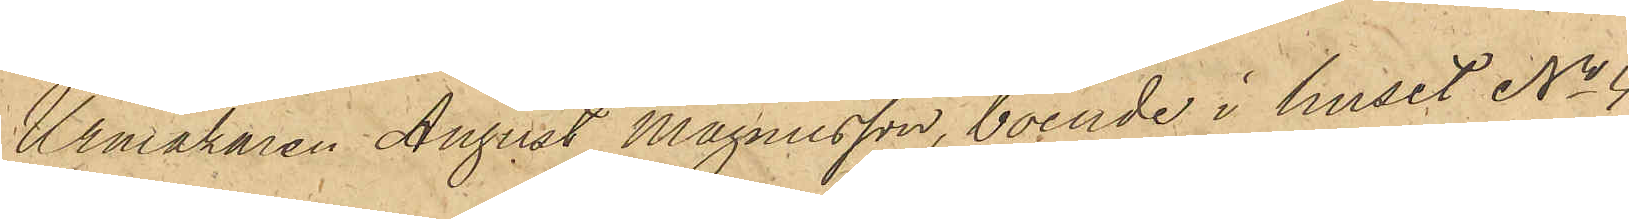Urmakaren August Magnusson, boende i huset No 4
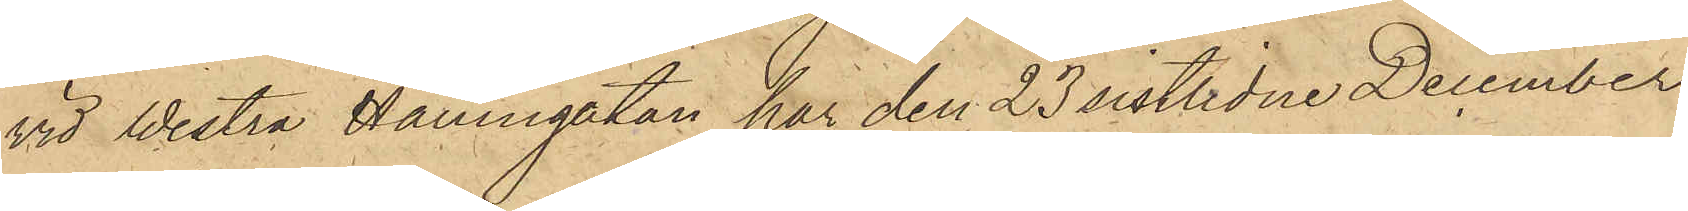vid Westra Hamngatan har den 23 sistlidne December
